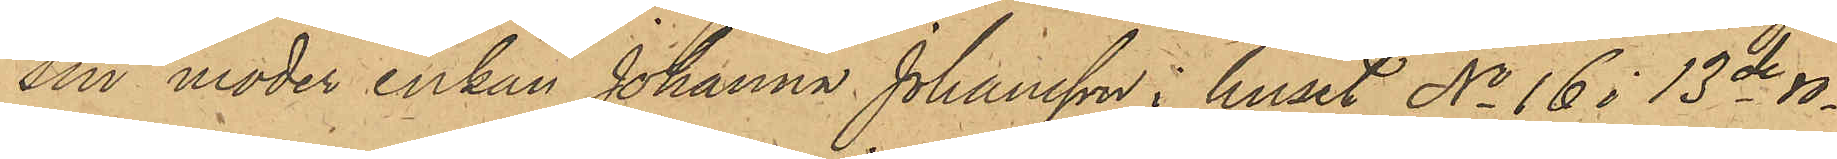sin moder enkan Johanna Johansson i huset No 16 i 13de ro¬
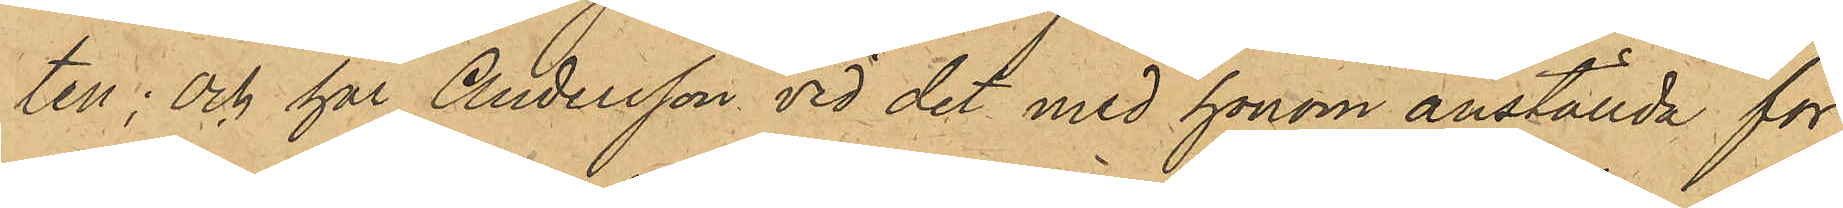ten; Och har Andersson vid det med honom anställda för¬
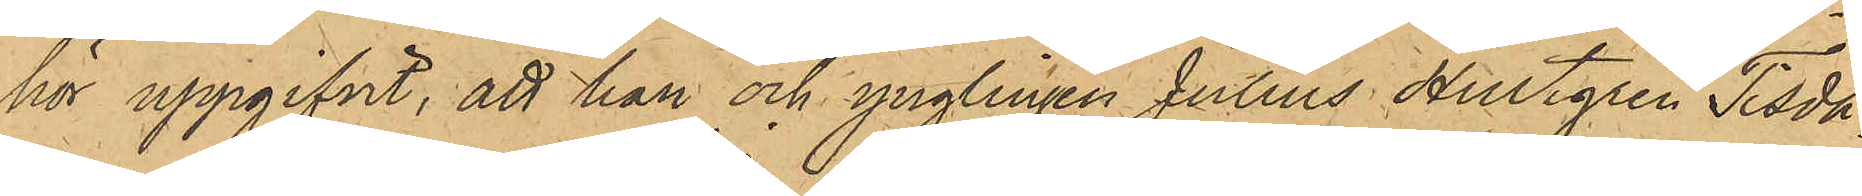hör uppgifvit, att han och ynglingen Julius Hultgren Tisda¬
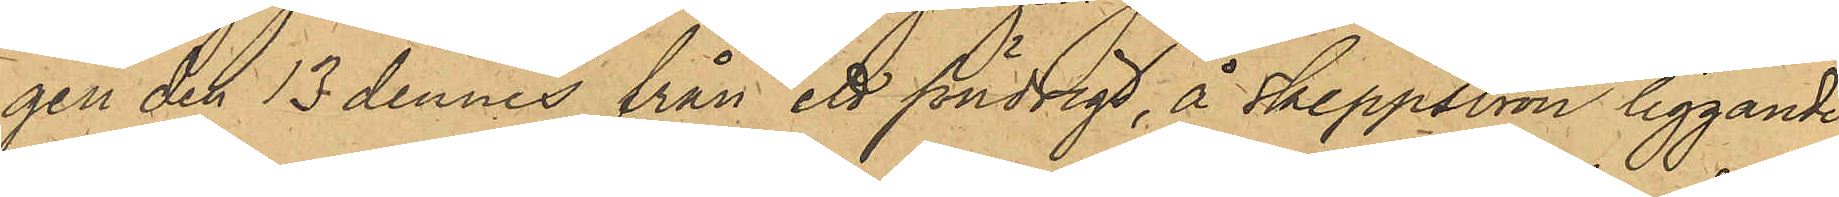gen de 13 dennes från ett söndrigt, å Skeppsbron liggande
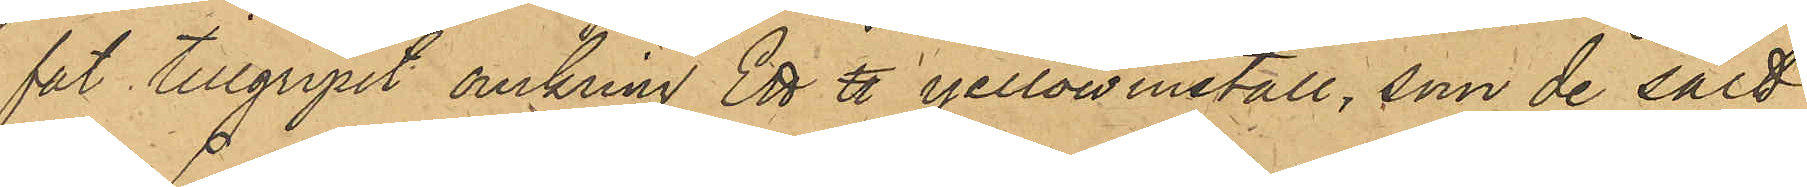fat tillgripit omkring Ett ℔ yellowmetall, som de sålt
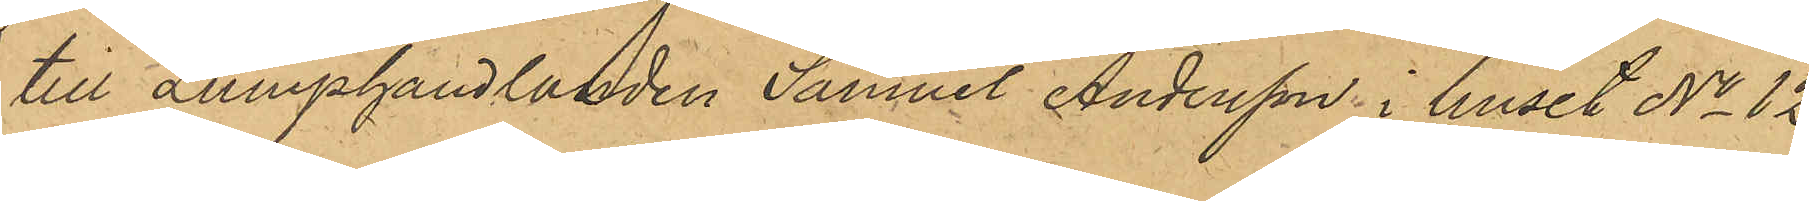till Lumphandlanden Samuel Andersson i huset No 12
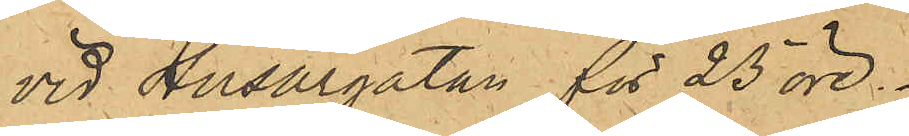vid Husargatan för 23 öre.
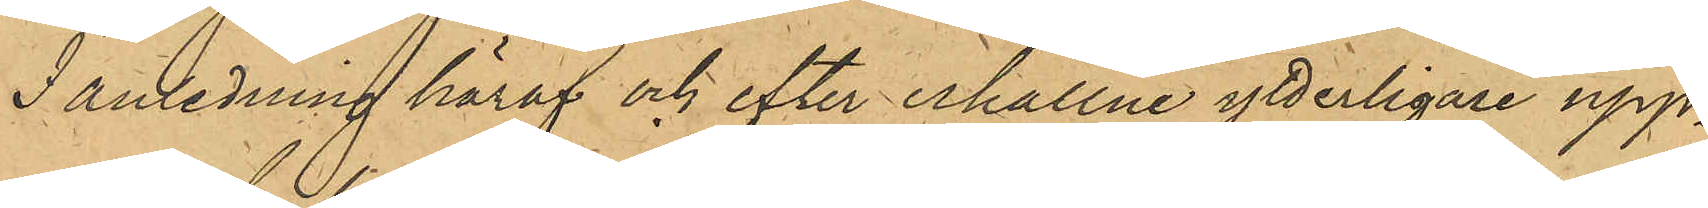I anledning häraf och efter erhållne ytterligare upp¬
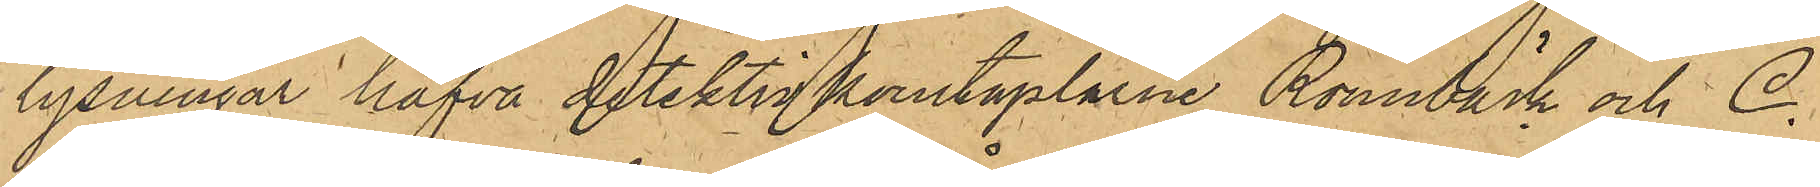lysningar hafva detektivkonstaplarne Rönnbäck och C.
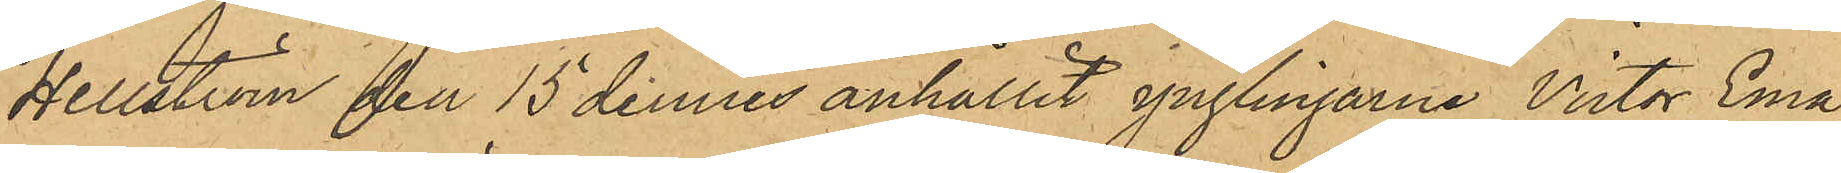Hellström den 15 dennes anhållit ynglingarne Victor Ema¬
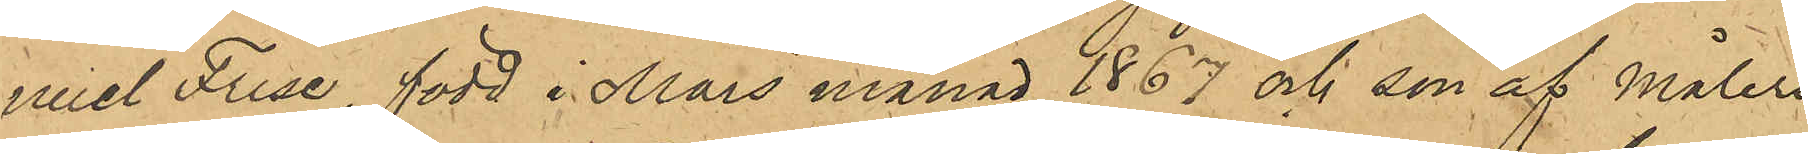nuel Frise, född i Mars månad 1867 och son af Måleri¬
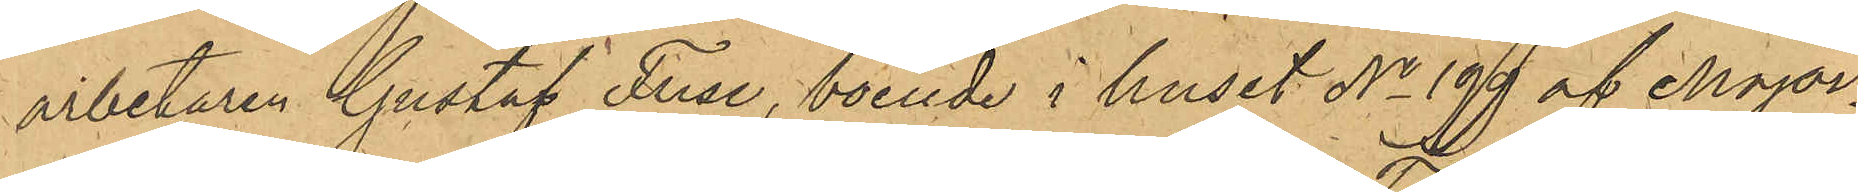arbetaren Gustaf Frise, boende i huset No 199 af Major¬
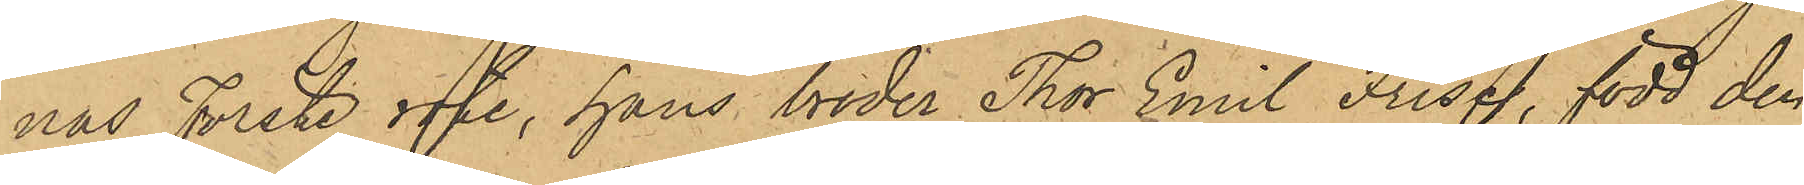nas Förste rote, hans broder Thor Emil Frise, född den
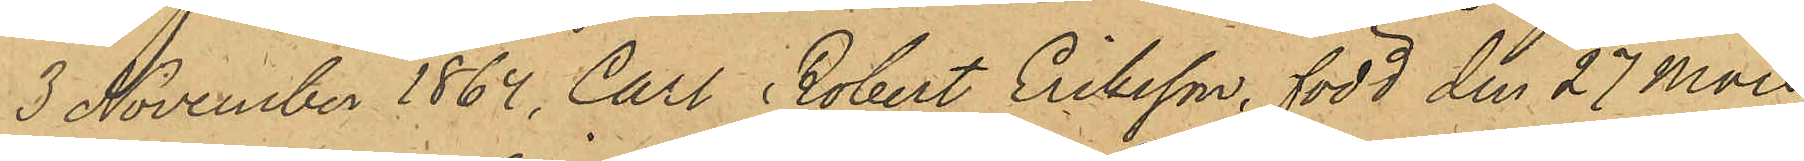3 November 1864, Carl Robert Eriksson, född den 27 Mars
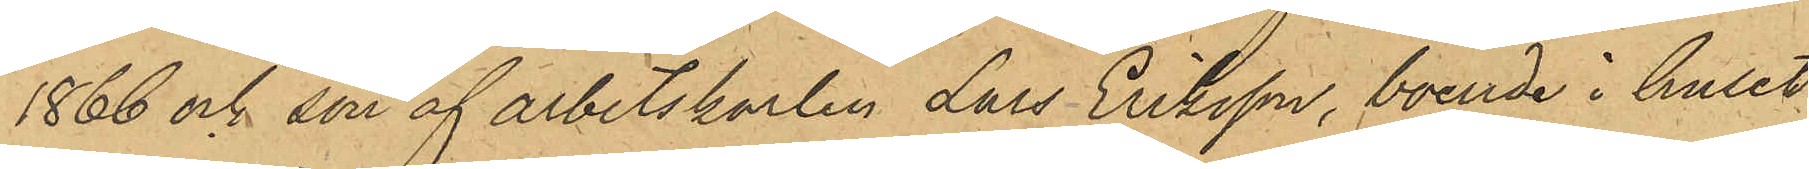1866 och son af arbetskarlen Lars Eriksson boende i huset
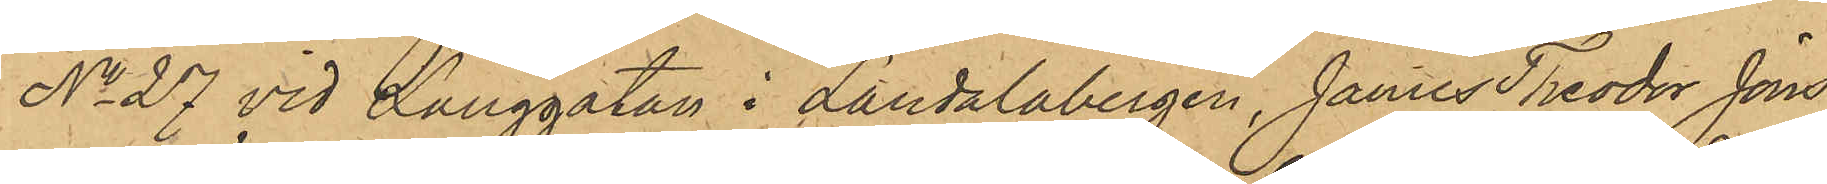No 27 vid Långgatan i Landalabergen, James Theodor Jöns¬
